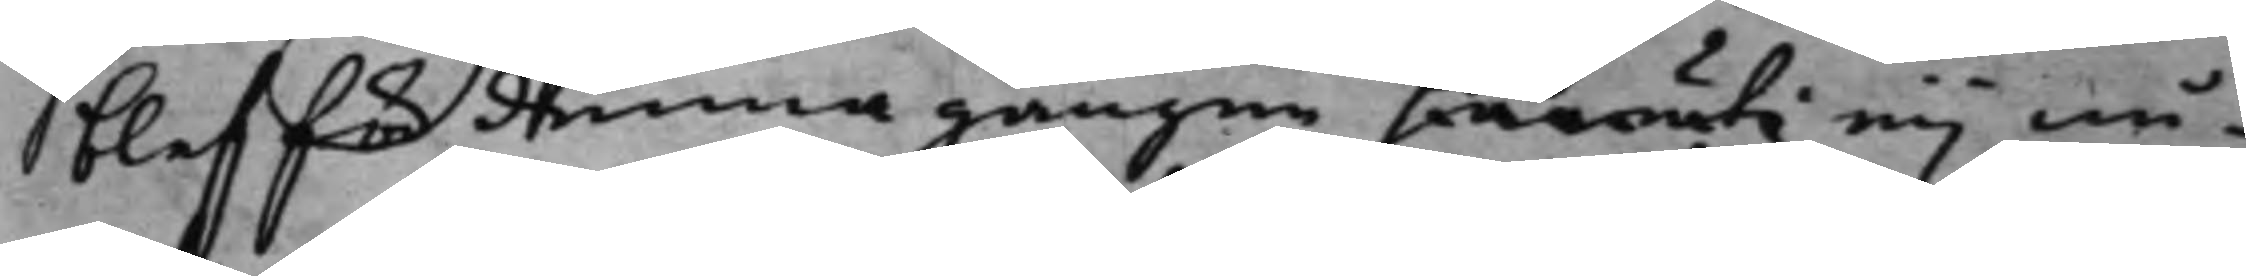blef för kunna gången waruti eij nå¬
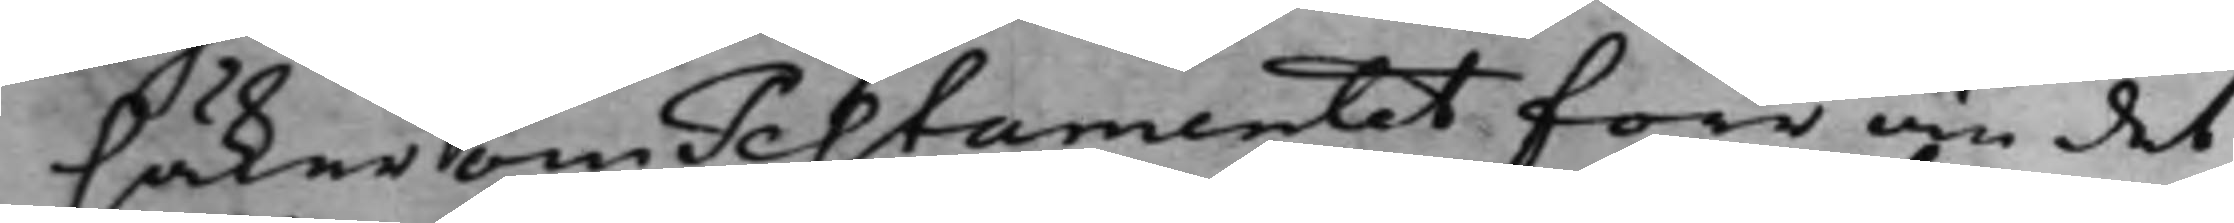säker om Testamentet förr än det
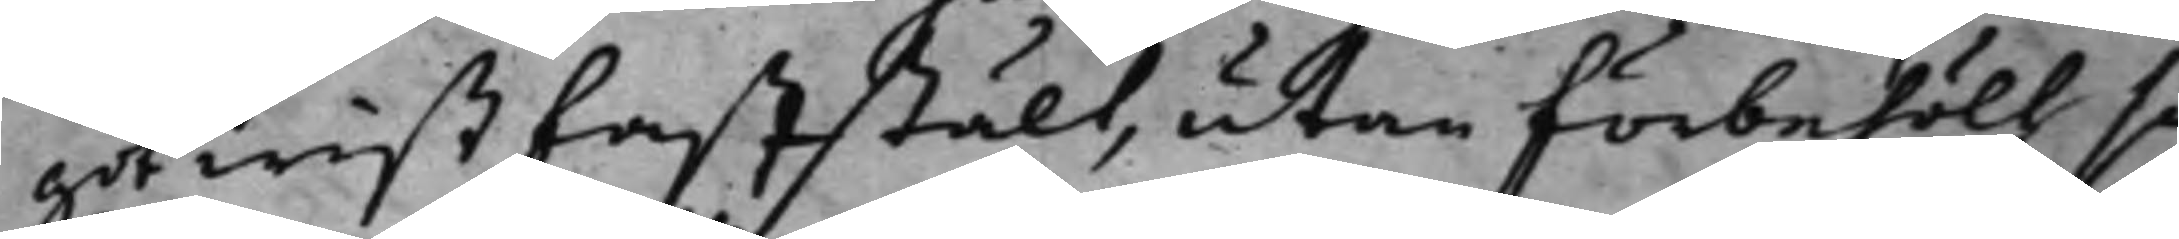got wist faststält, utan förbehöll så¬
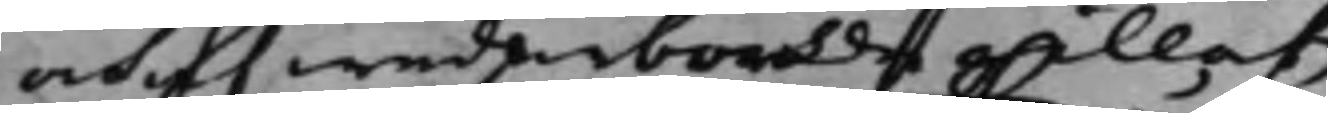och af wederbörde gillat,
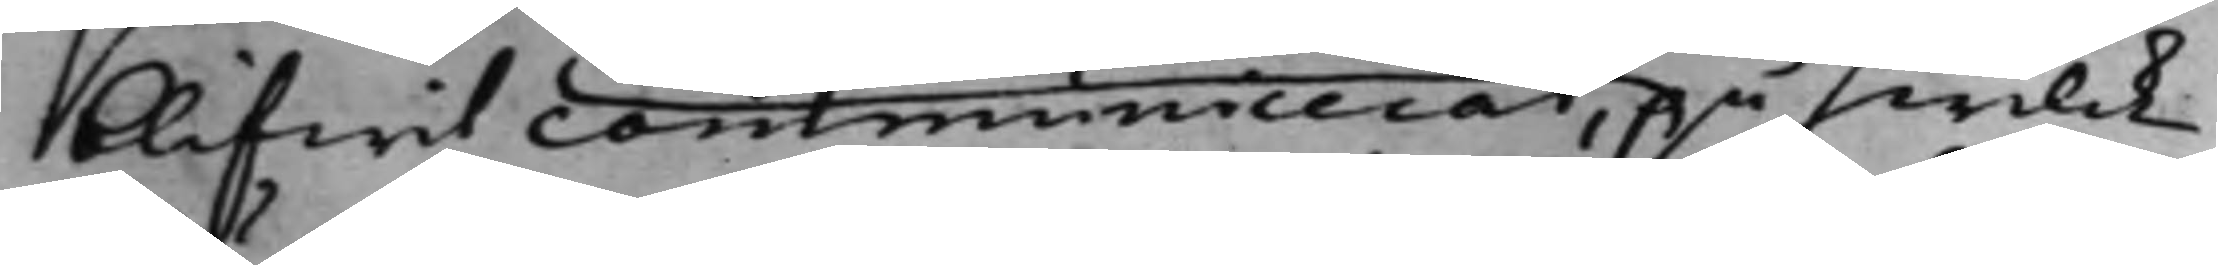blifwit communicerar, på hwilck
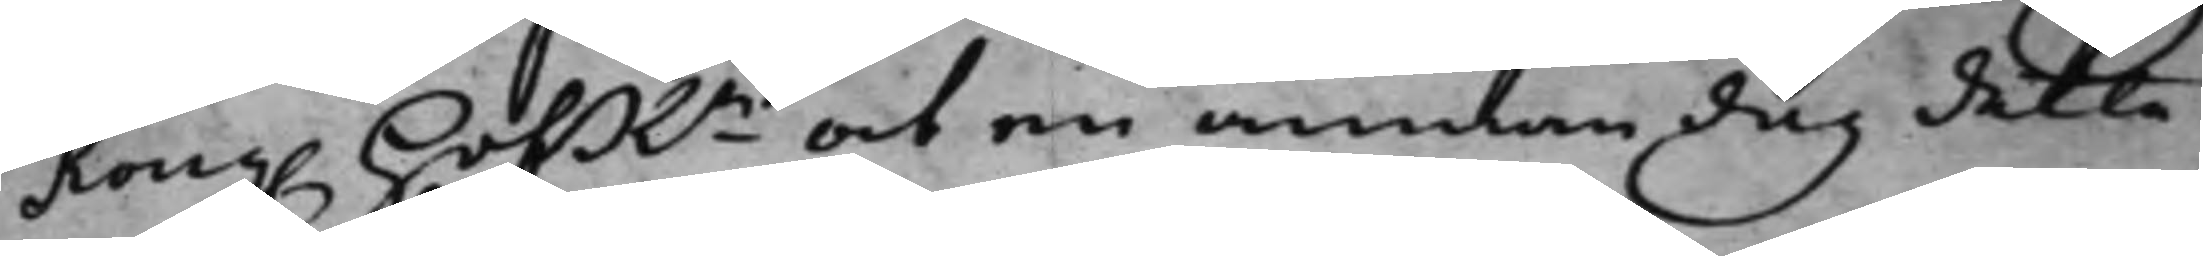Kong. HofRn at en annan dag detta
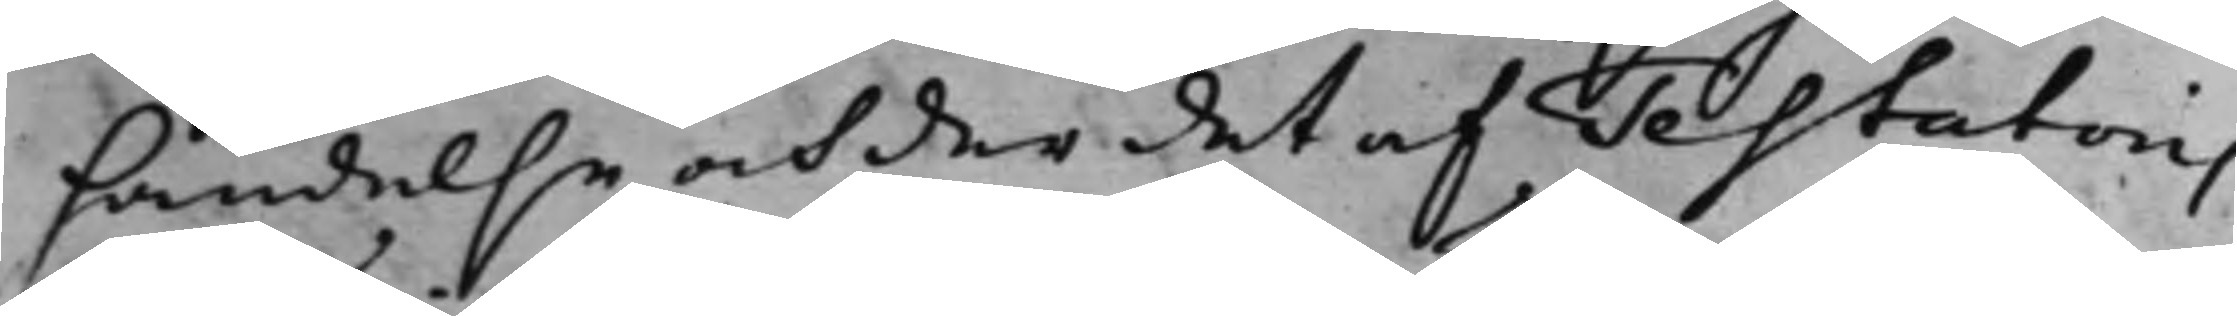händelse och der det af Testatoris
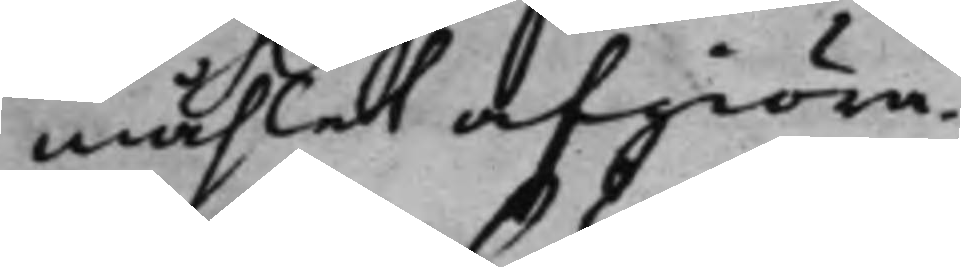måhlet afgiöra.
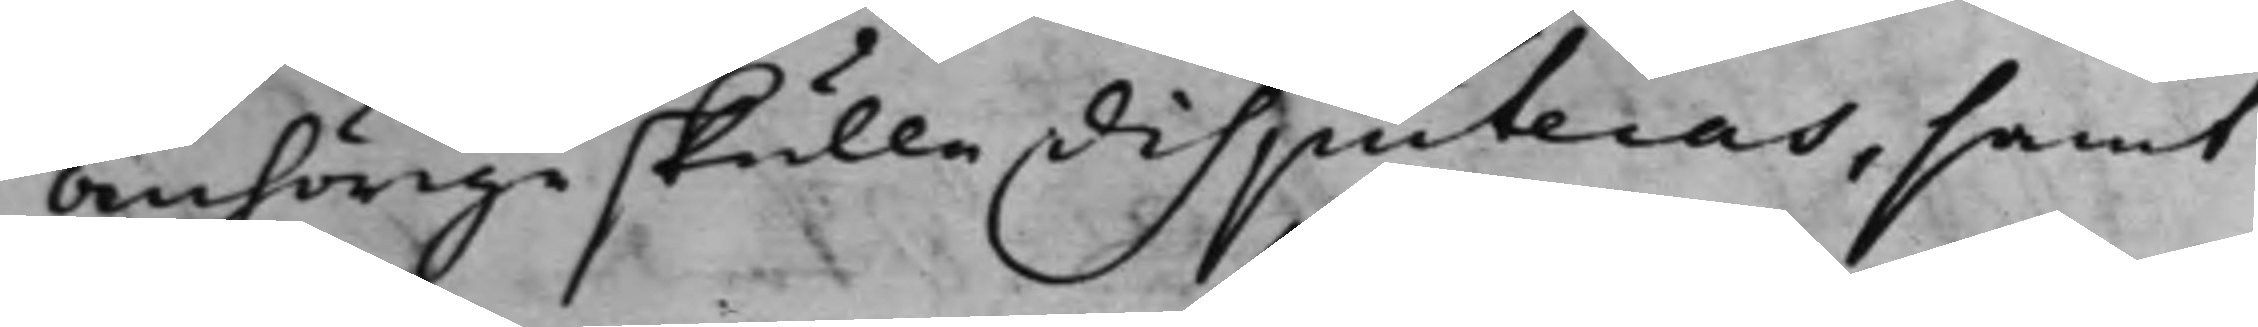anhörige skulle disputeras, samt
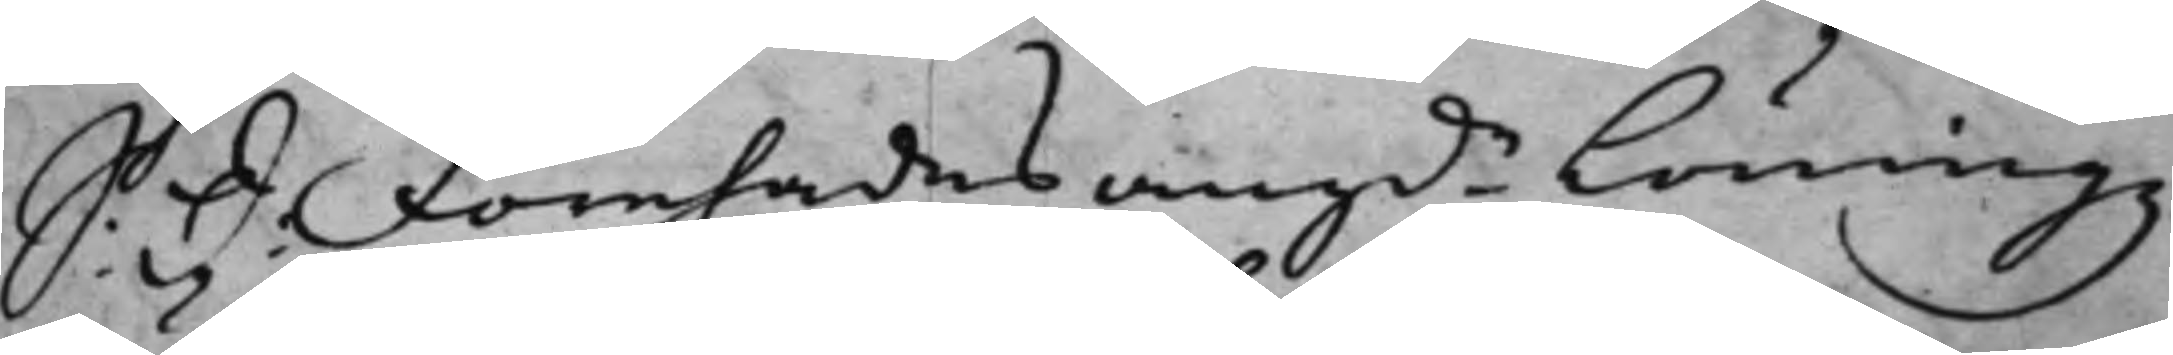S: d: Förehades angde Löningz
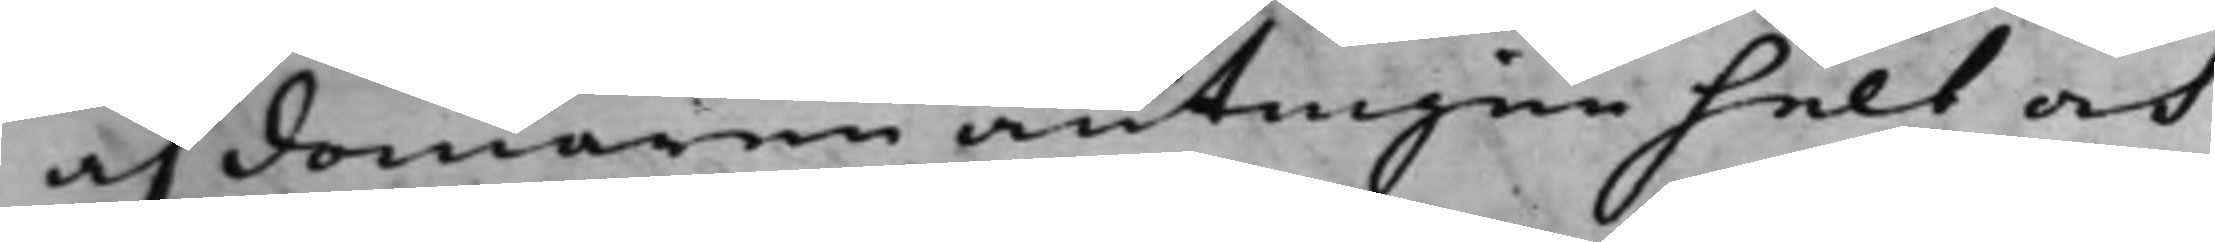af domaren antingen helt och
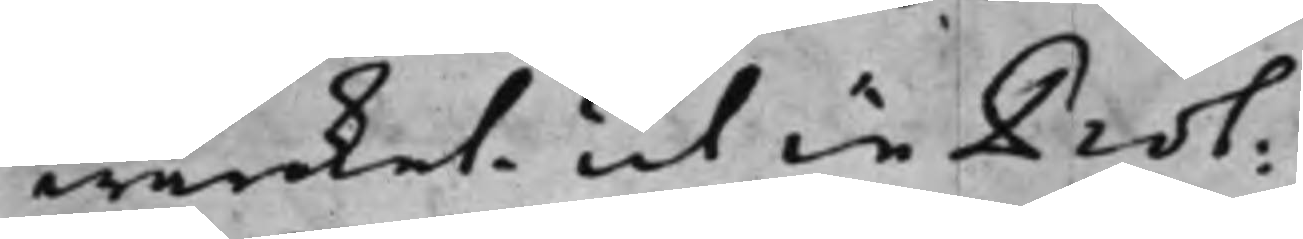wärket, ut in Prot:
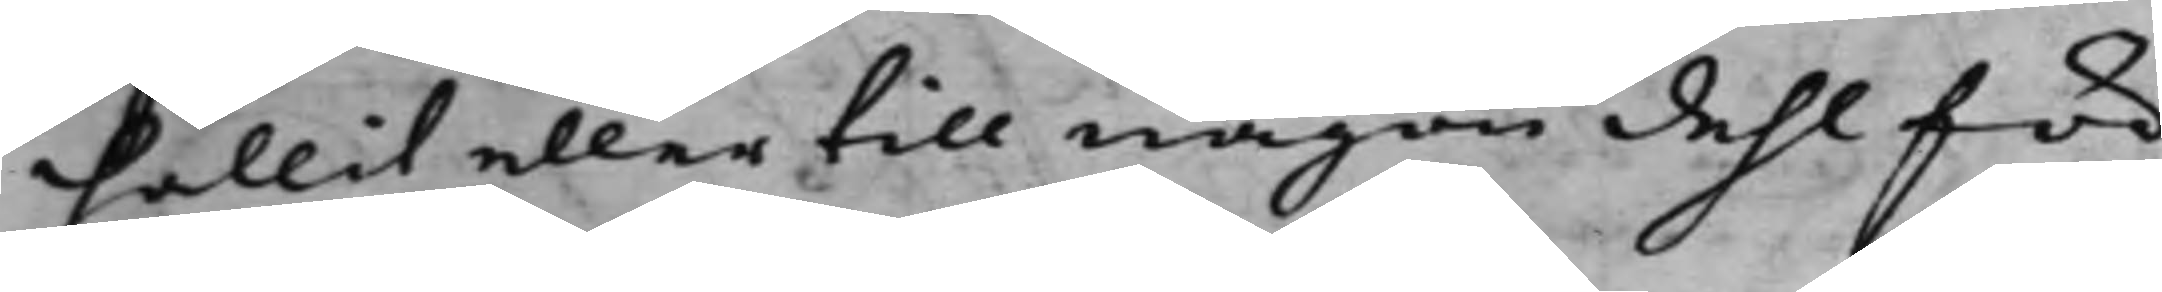hållit eller till någon dehl för
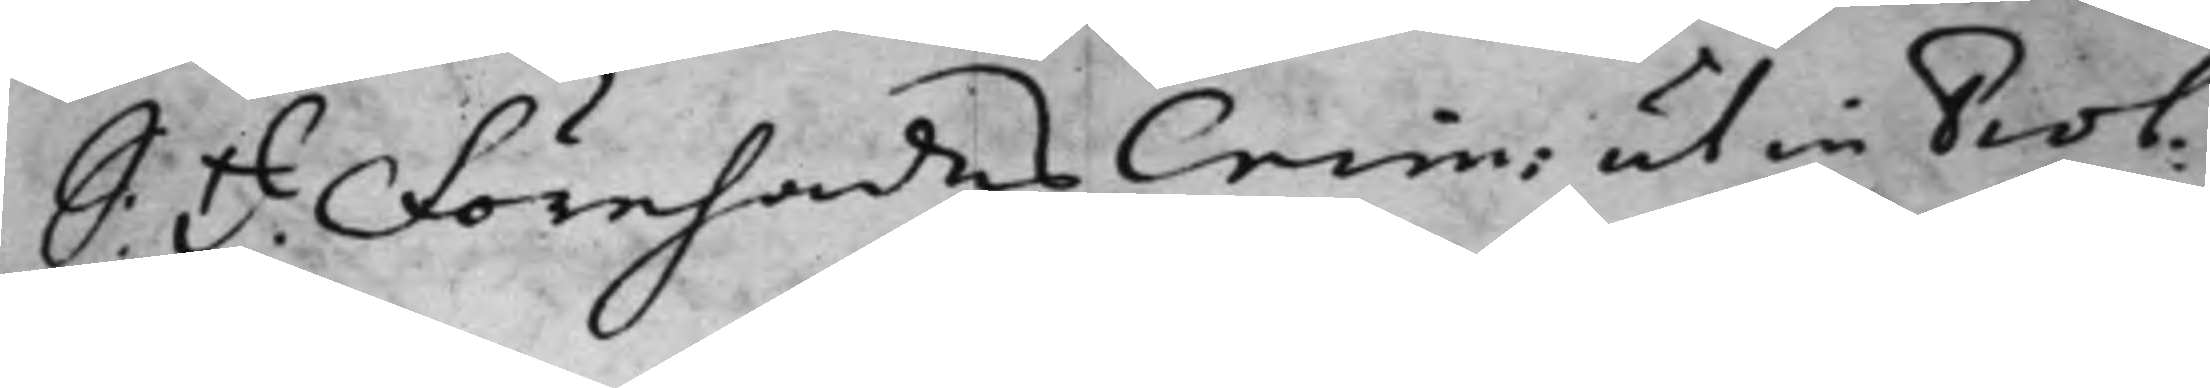S: d: Förehades Crim: utin Prot:
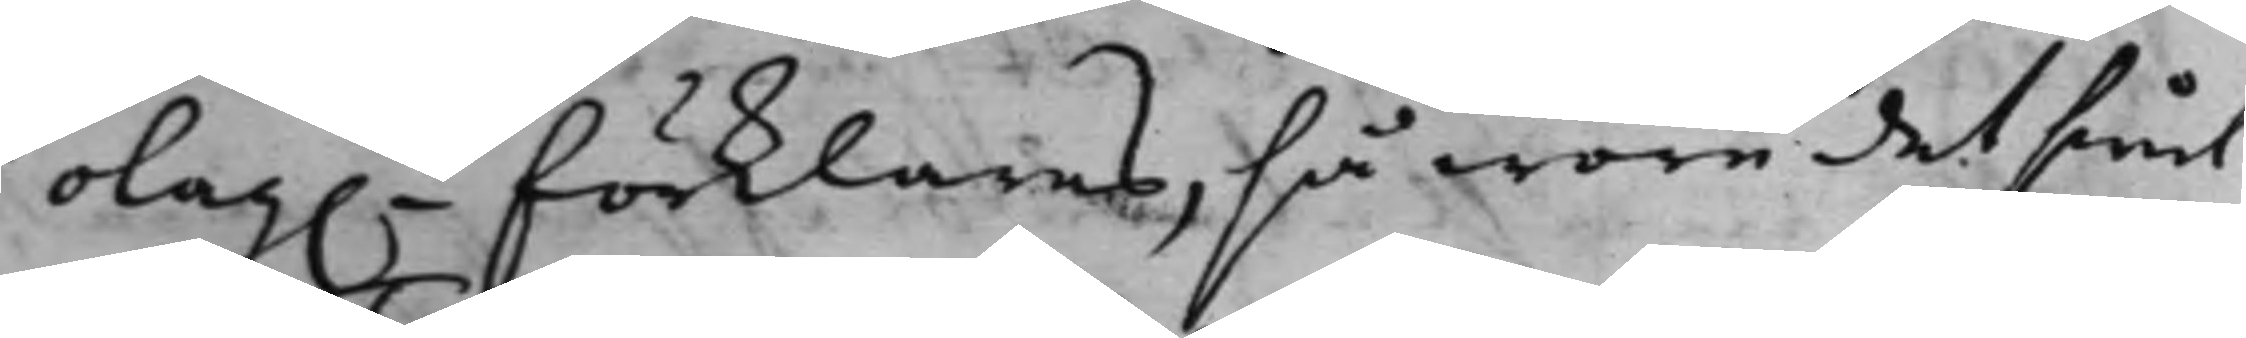olag. förklaras, så wore det sin
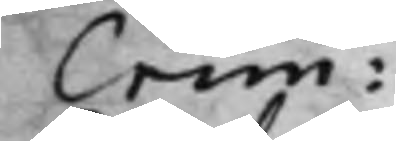Crim:
